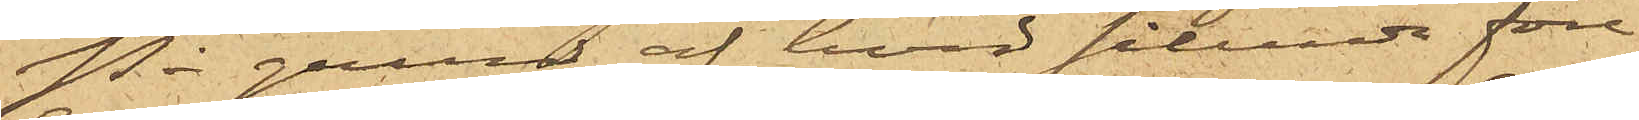På grund af hvad sålunda före¬
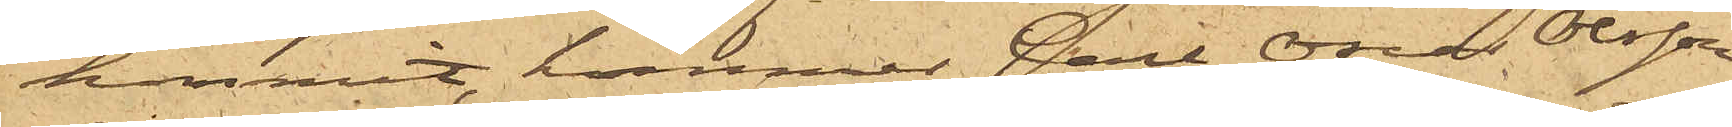kommit, kommer Carl Oscar Olsson,
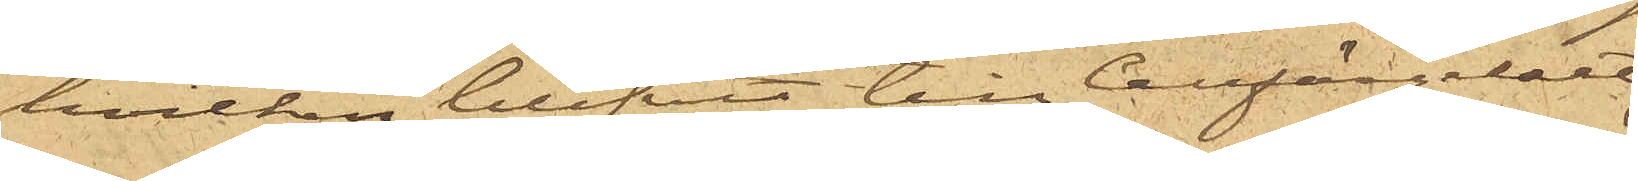hvilken blifvit till Cellfängelset
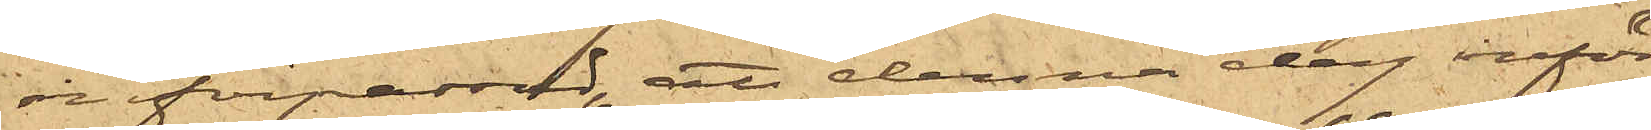införpassad, att denna dag inför
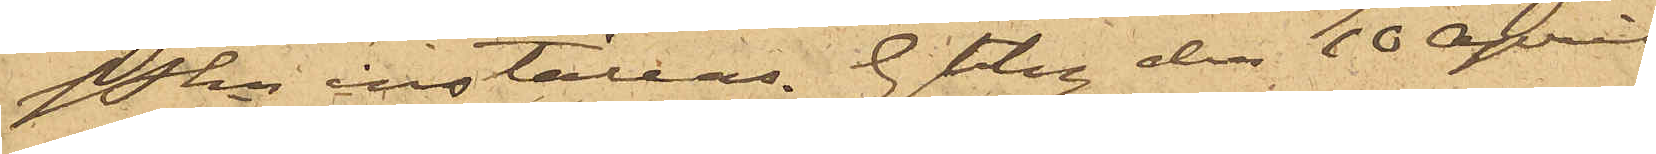PKn inställas. Gtbg den 10 april
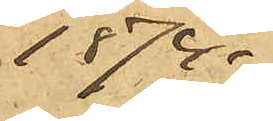1874.
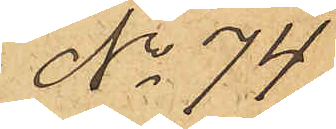No 74.
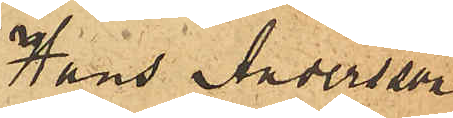Hans Andersson
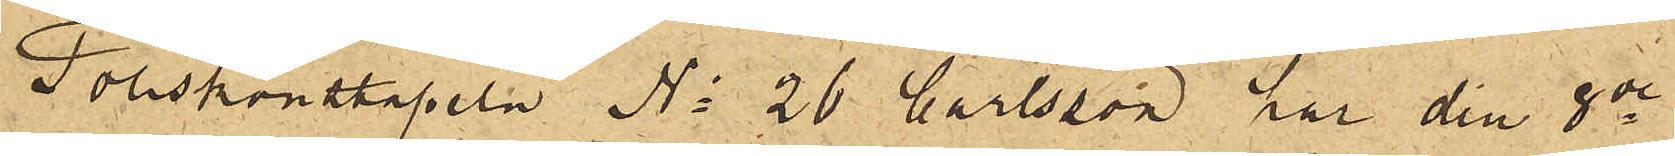Poliskonstapeln No 26 Carlsson har den 8de
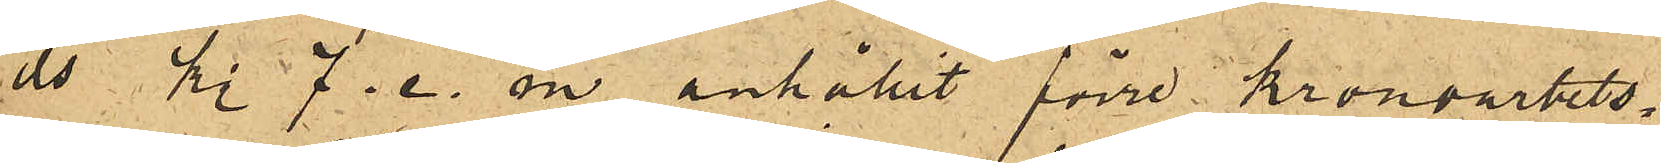ds kl 7. e. m anhållit förre Kronoarbets¬
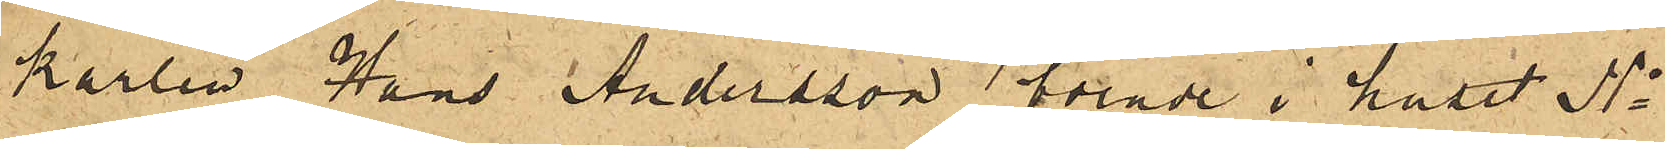karlen Hans Andersson boende i huset No
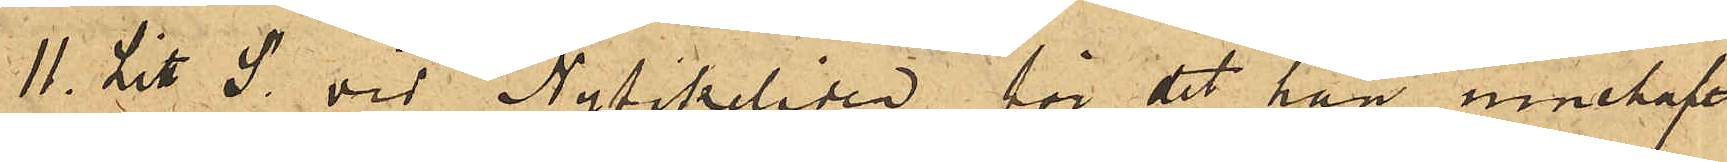11. Litt. S. vid Nyfikeliden, för det han innehaft
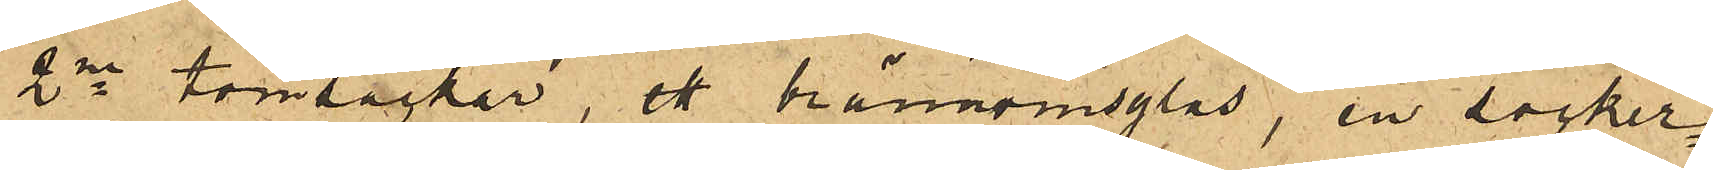2ne tomsäckar, ett brännvinsglas, en socker¬
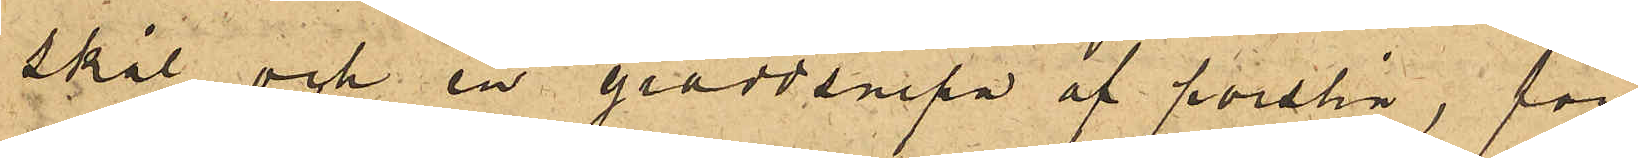skål och en gräddsnipa af porslin, för
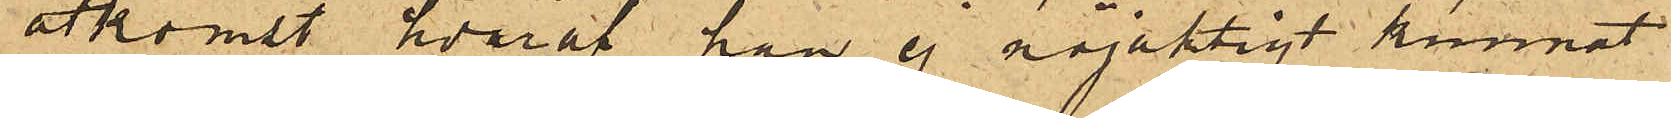åtkomst hvaraf han ej nöjaktigt kunnat
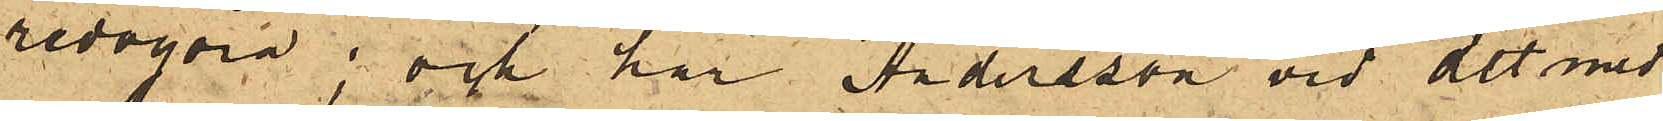redogöra; och har Andersson vid det med
